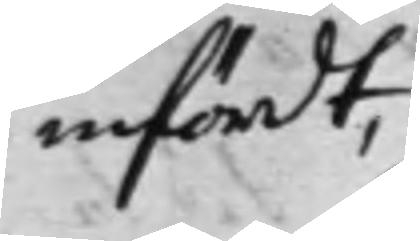infördt,
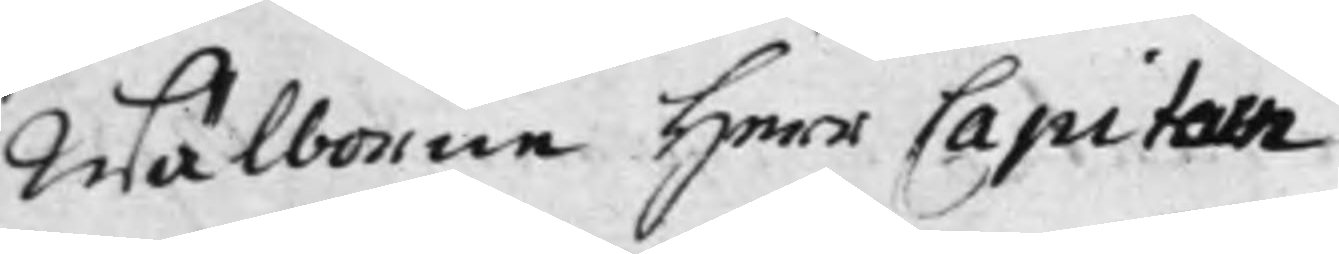Wälborne Herr Capitain
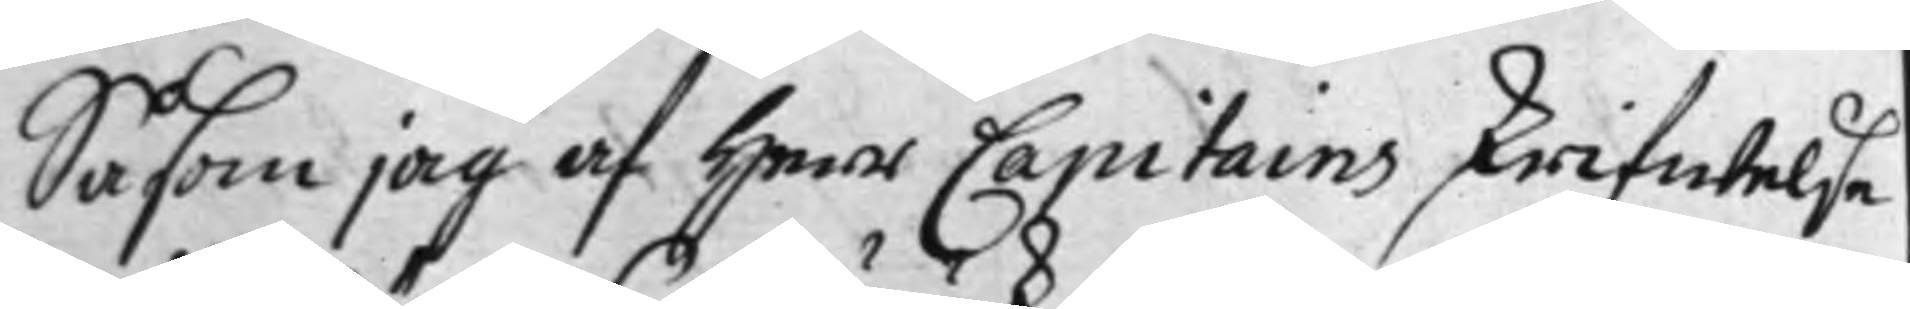Såsom jag af Hans Capitains skrifwelse
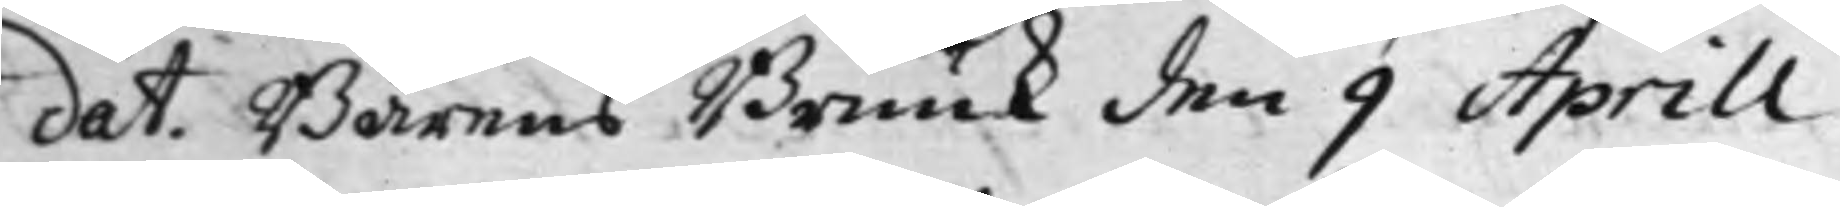dat. Bärens Bruuk den 9 Aprill
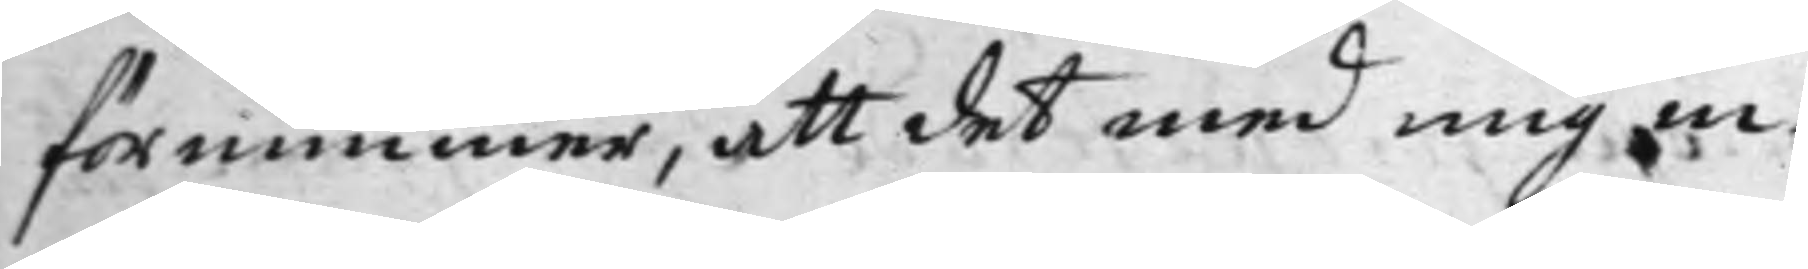förnimmer, att det med mig in¬
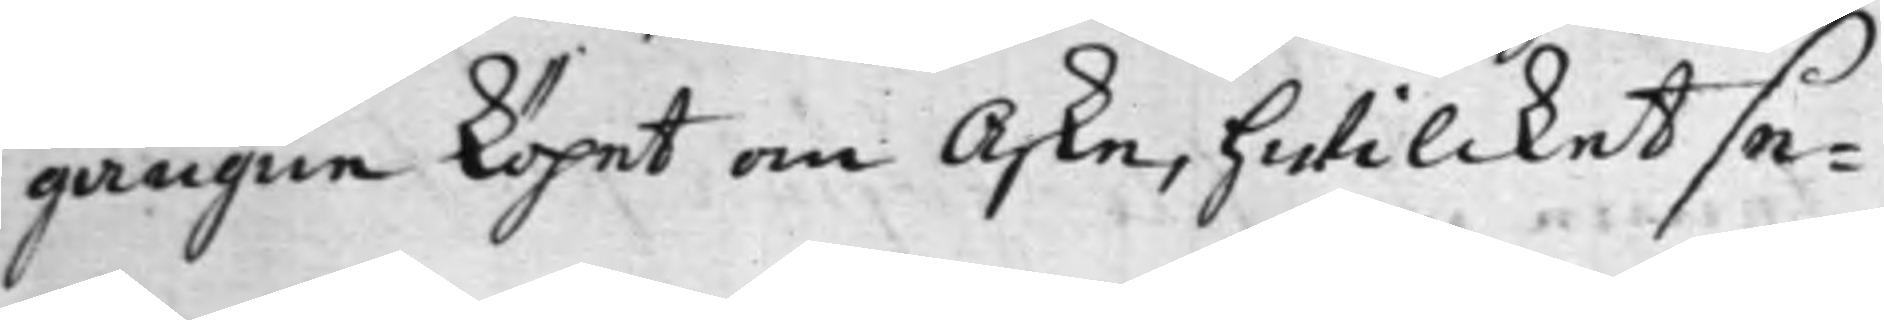gångne köpet om Aske, hwilcket se¬
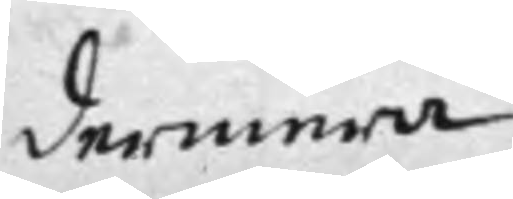dermera
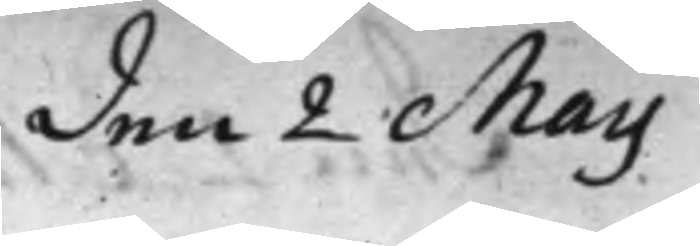den 2 Maij
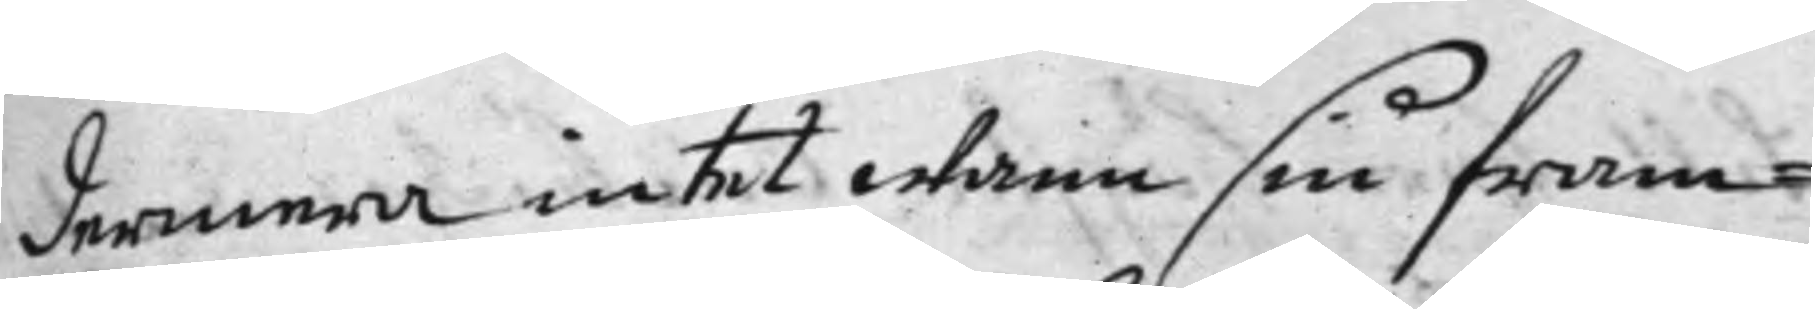dermera intet wann sin fram¬
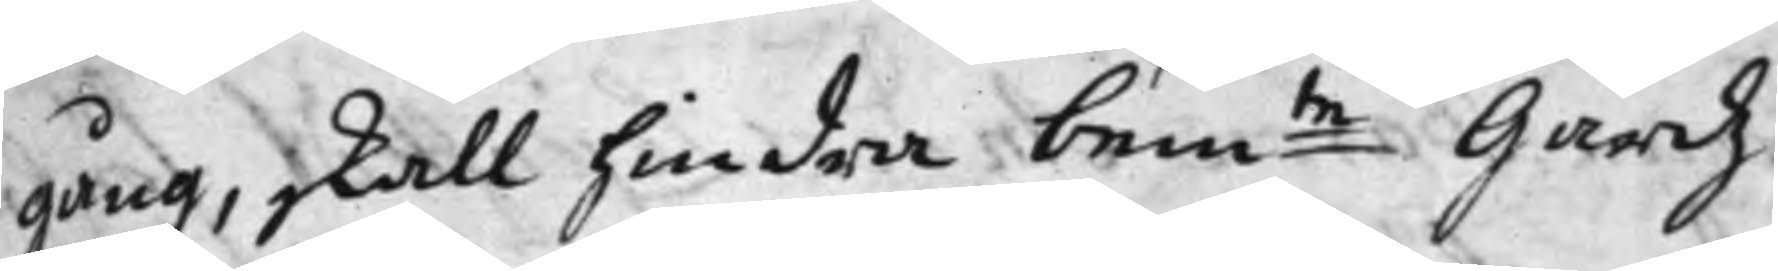gång, skall hindra bem:te Gårdz
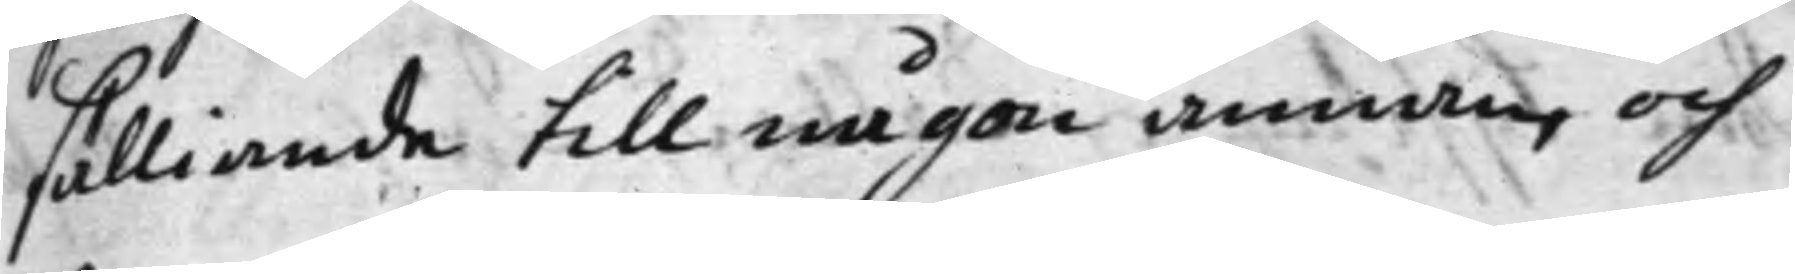sälliande till någon annan, och
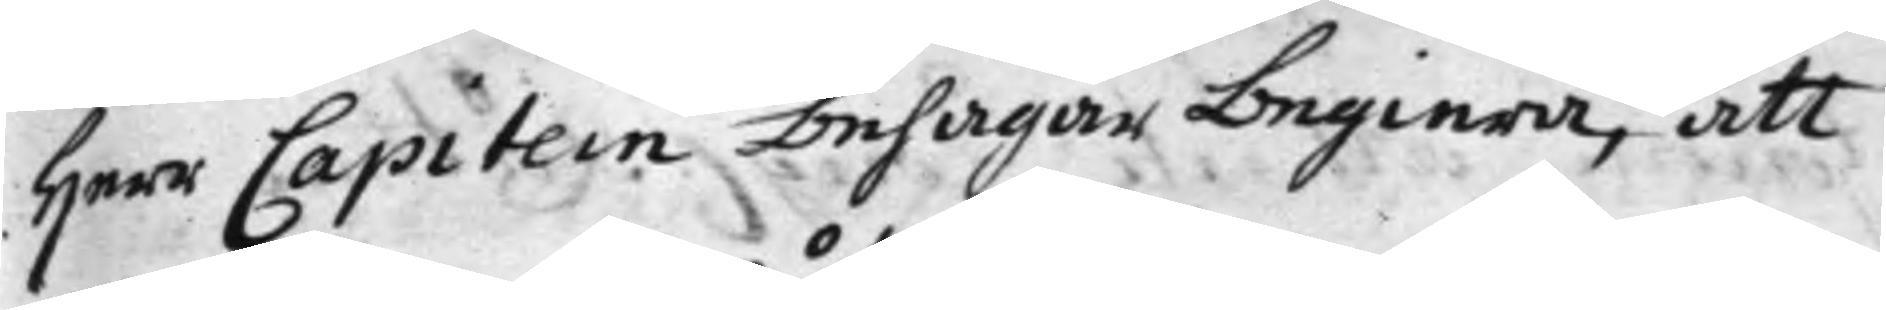Herr Capitein behagar begiera, att
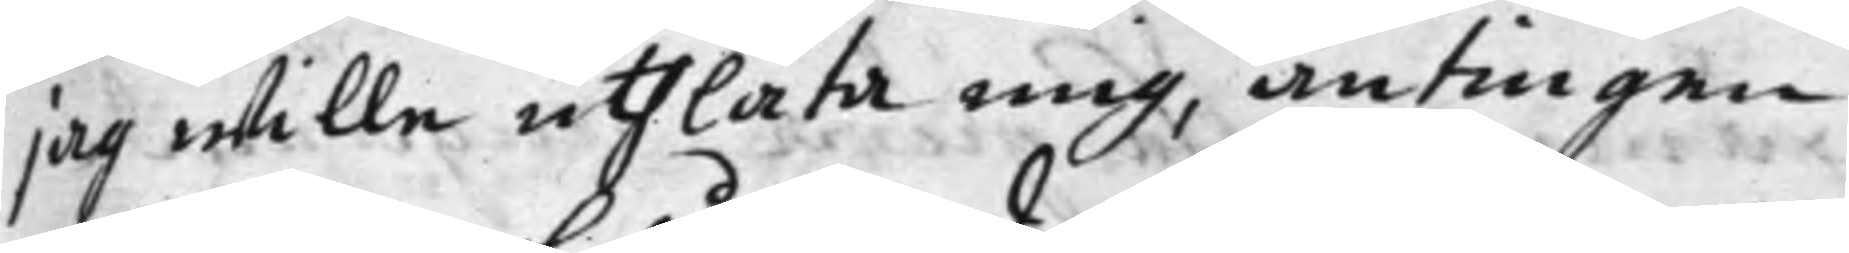jag wille uthlåta mig, antingen
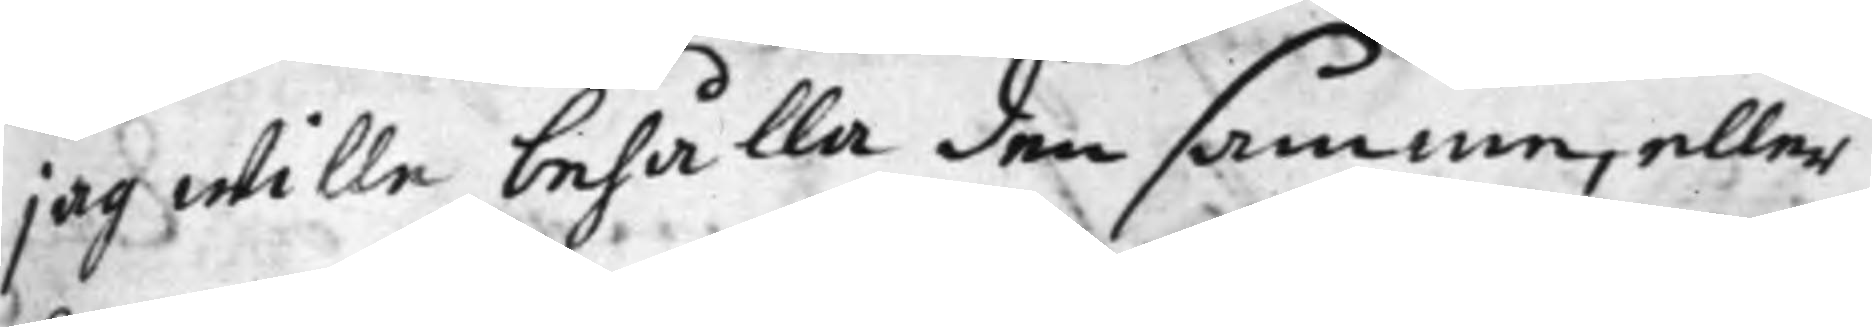jag wille behålla den samma, eller
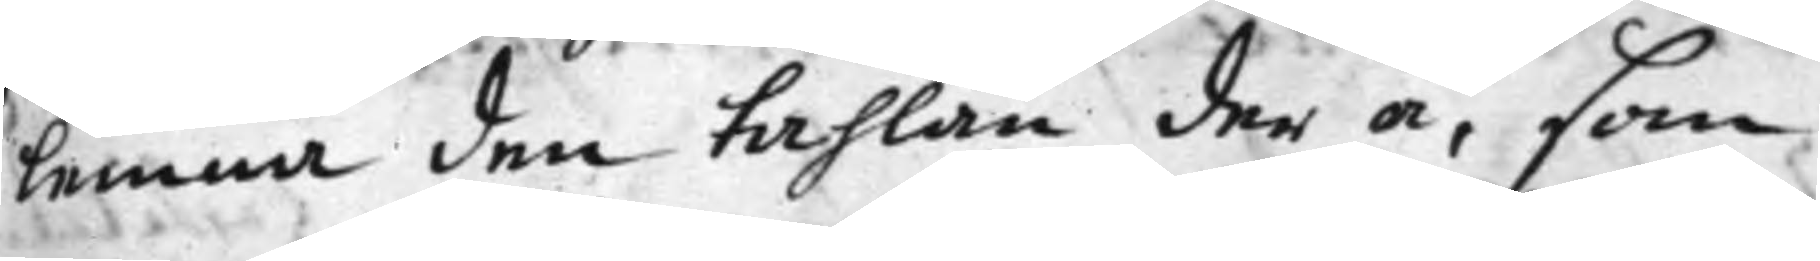lemna den tahlan der å, som
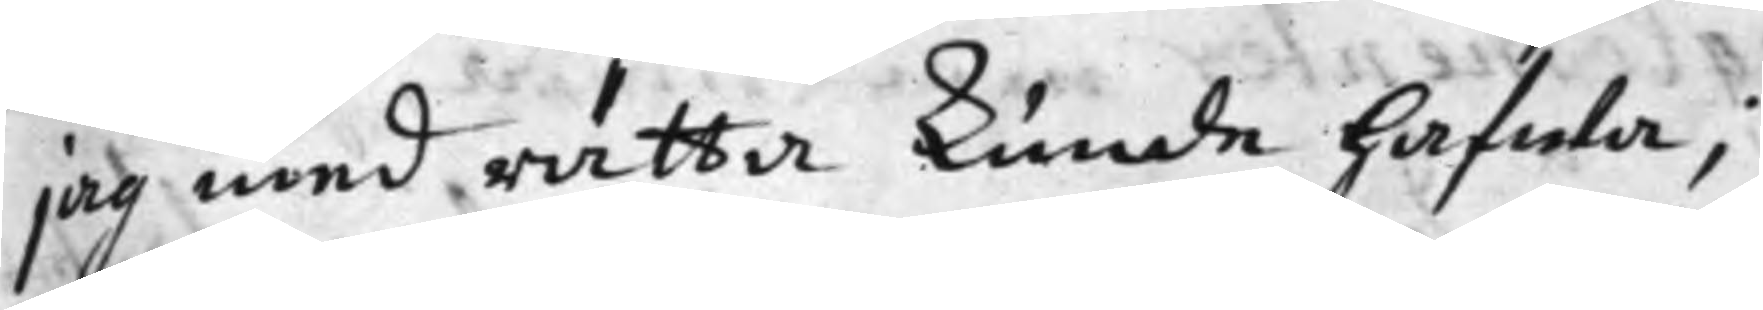jag med rätta kunde hafwa;
